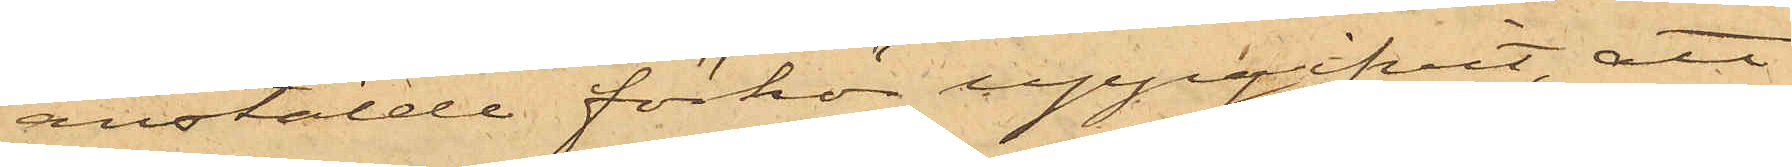anstälde förhör uppgifvit, att
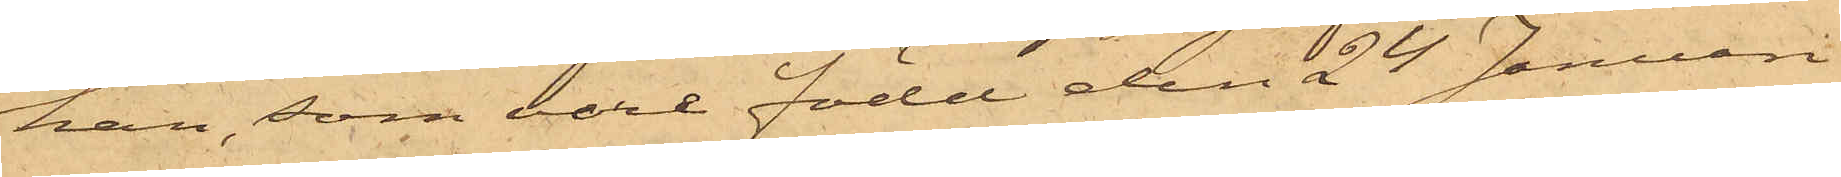han, som vore född den 24 Januari
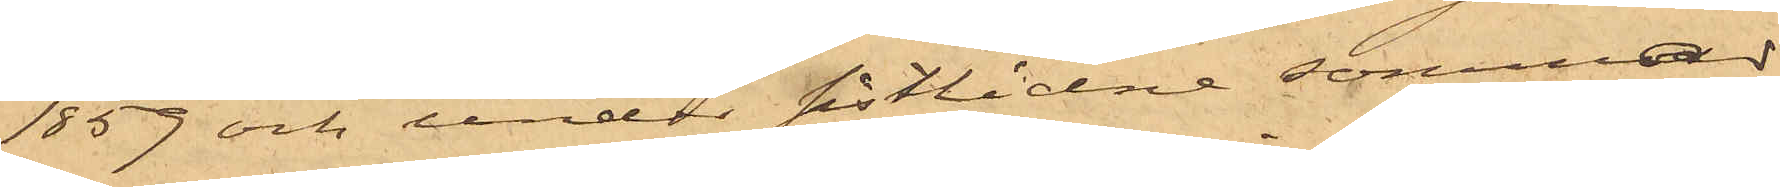1859 och under sistlidne sommar
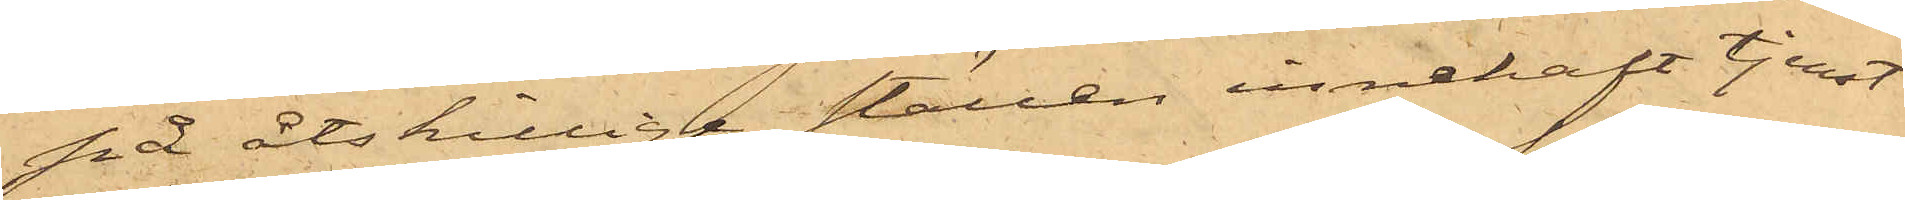på åtskilliga ställen innehaft tjenst
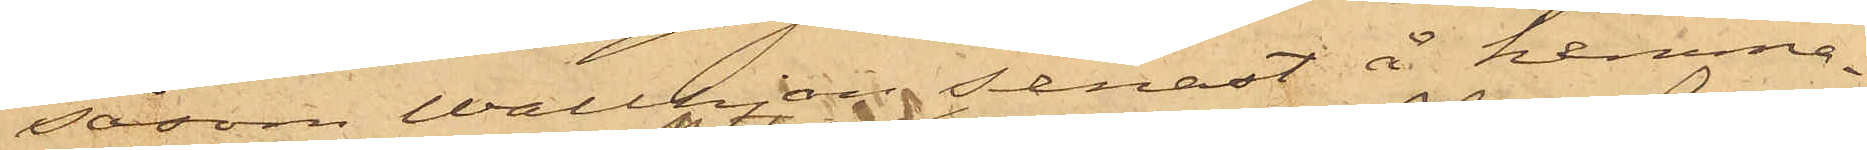såsom Wallhjon senast å hemma¬
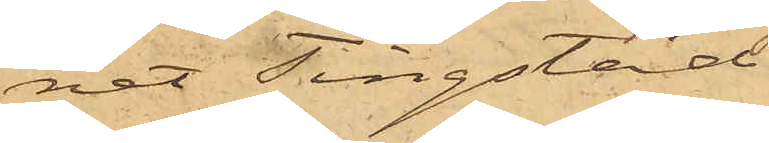net Tingstad
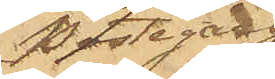Postegård
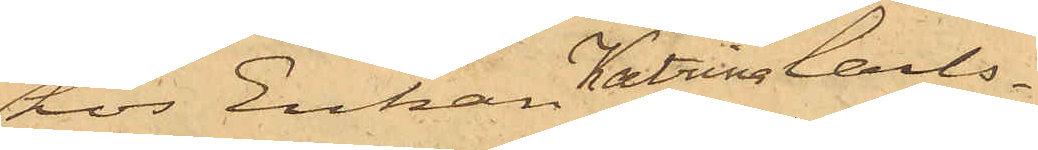hos Enkan Katrina Carls¬
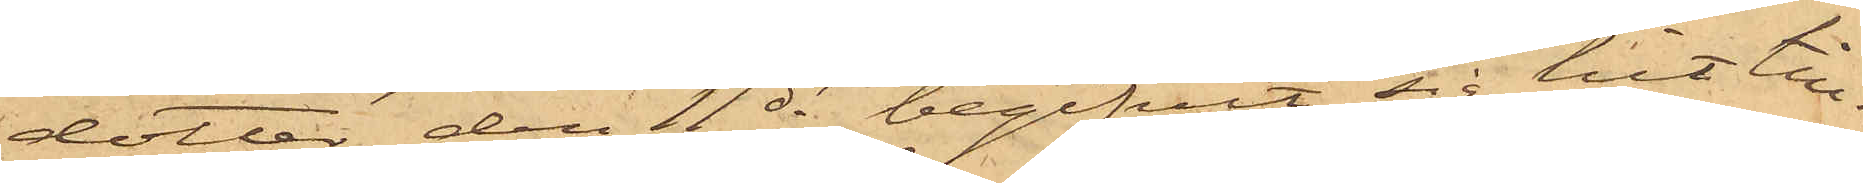dotter, den 11 ds begifvit sig hit till
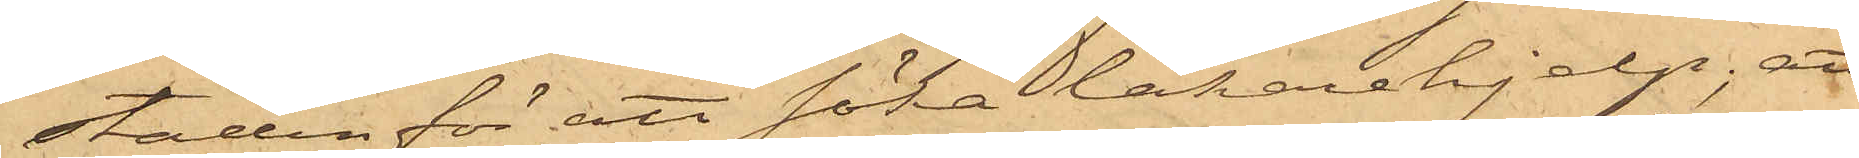staden för att söka läkarehjelp; att
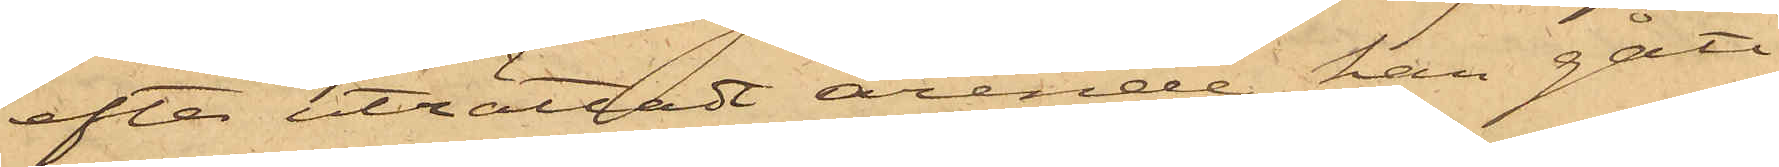efter uträttadt ärende han gått
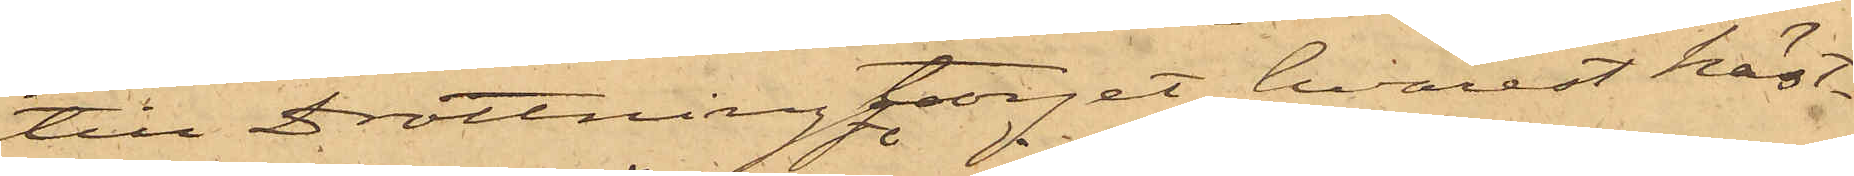till Drottningtorget, hvarest häst¬
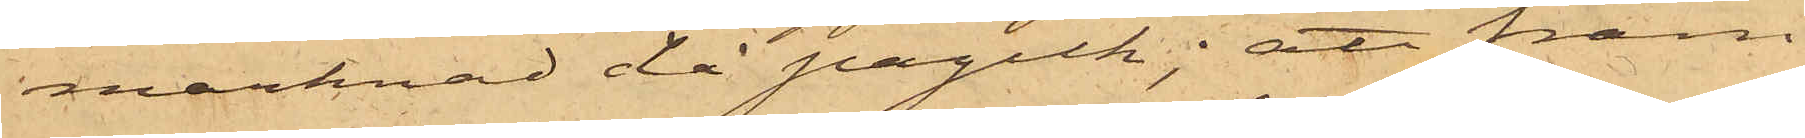marknad då pågick; att fram¬
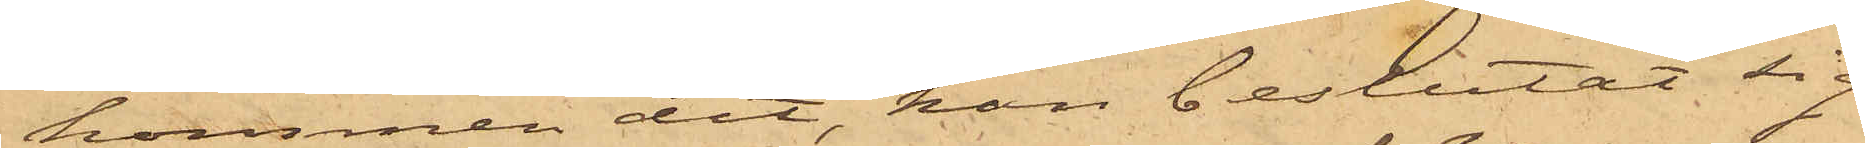kommen dit, han beslutat sig
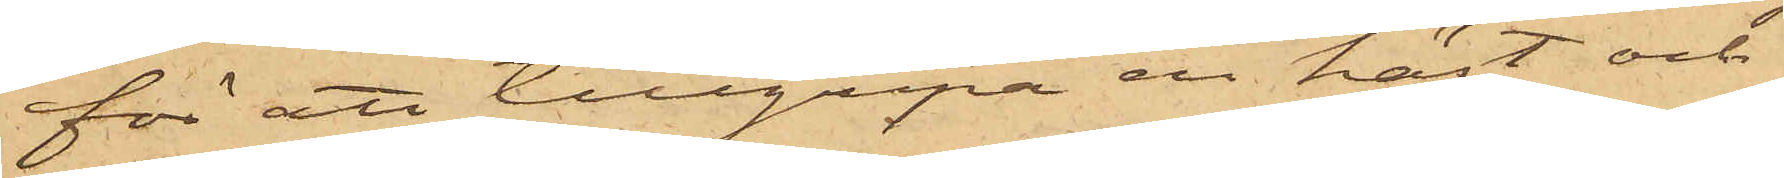för att tillgripa en häst och
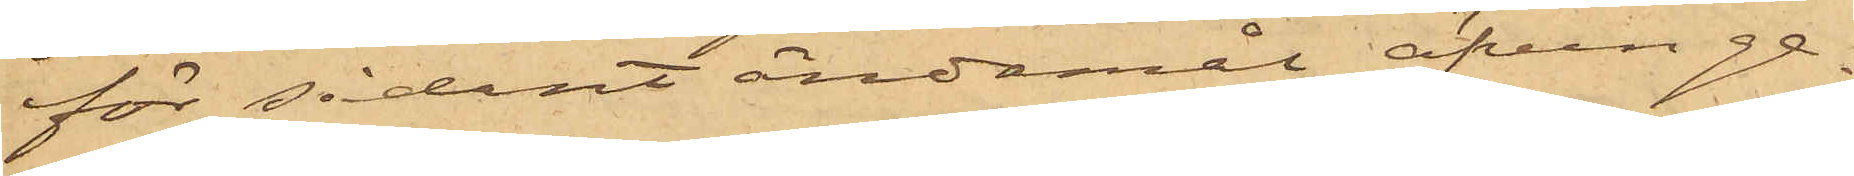för sådant ändamål äfven ge¬
